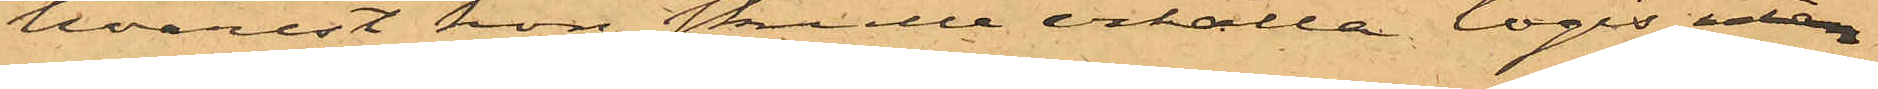hvarest hon skulle erhålla logis utan
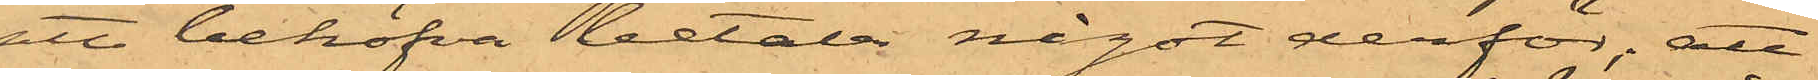att behöfva betala något derför; att
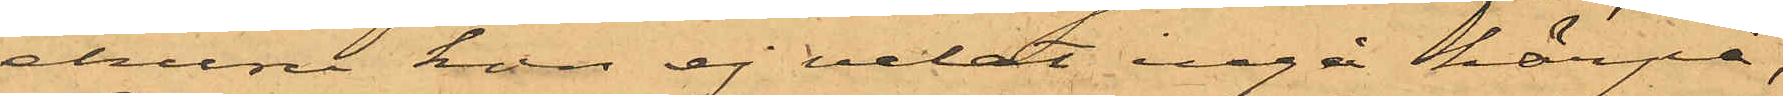ehuru hon ej velat ingå härpå,
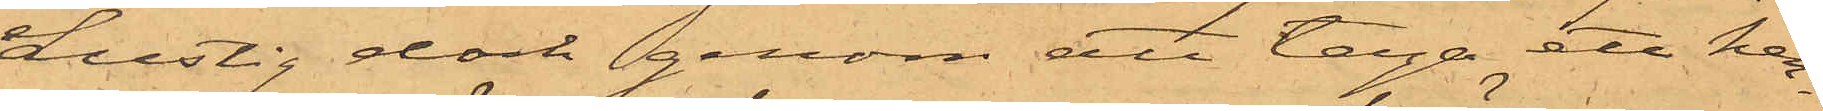Lustig dock genom att taga ett hen¬
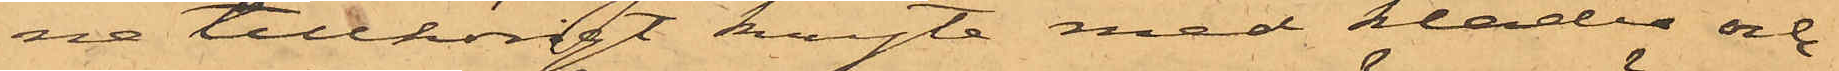ne tillhörigt knyte med kläder och
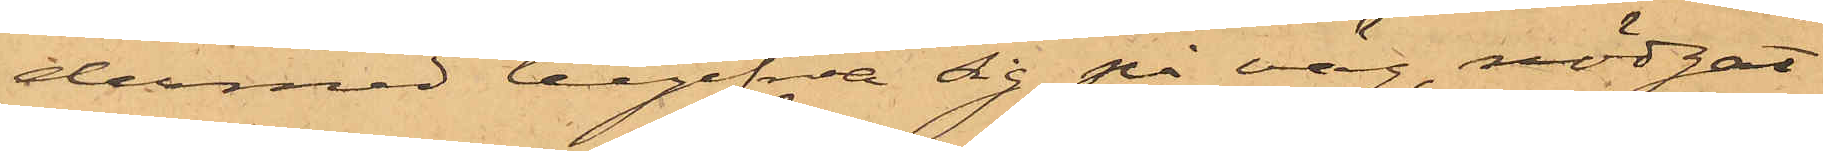dermed begifva sig på väg, nödgat
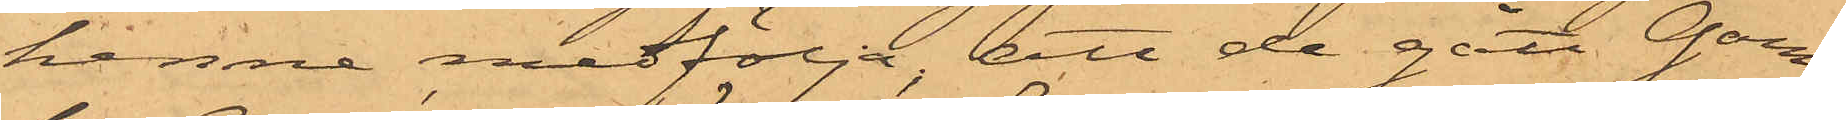henne medfölja; att de gått Gam¬
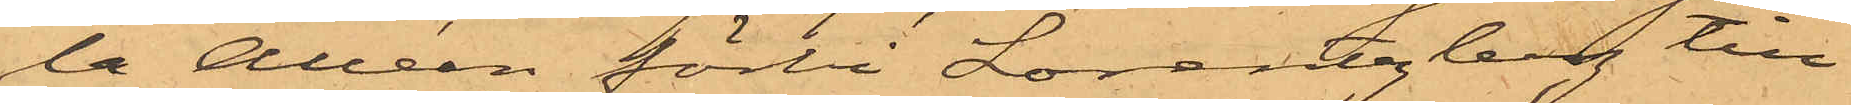la Allén förbi Lorentzberg till
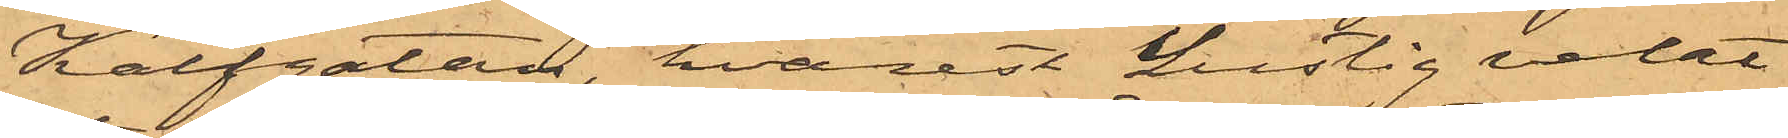Kalfgatan, hvarest Lustig velat
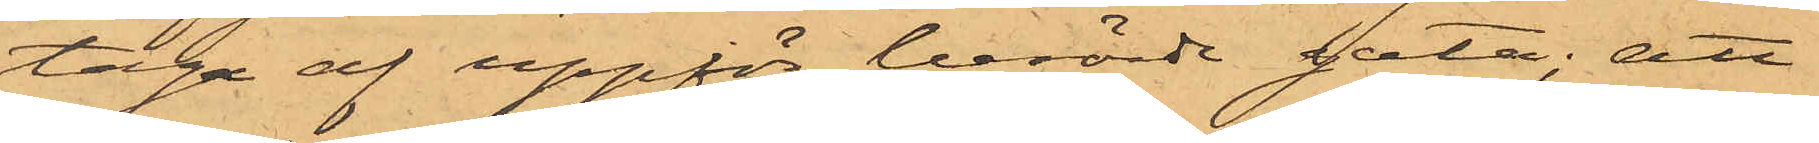taga af uppför berörde gata; att
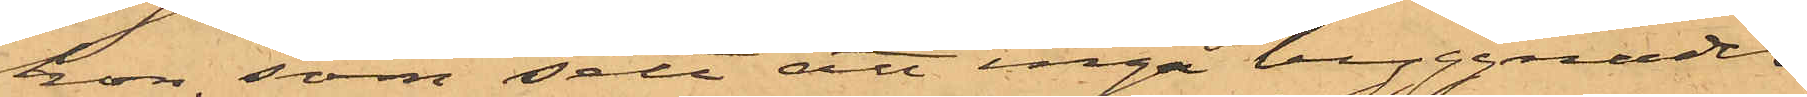hon, som sett att inga byggnader
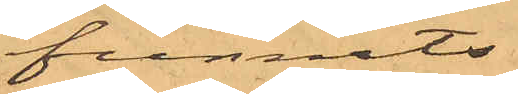funnits
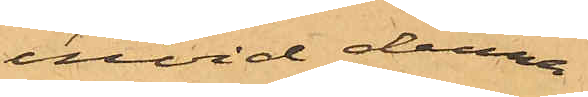invid denna
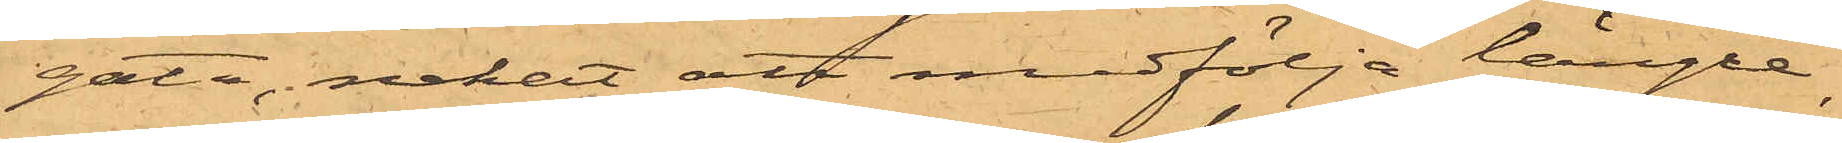gata, nekat att medfölja längre,
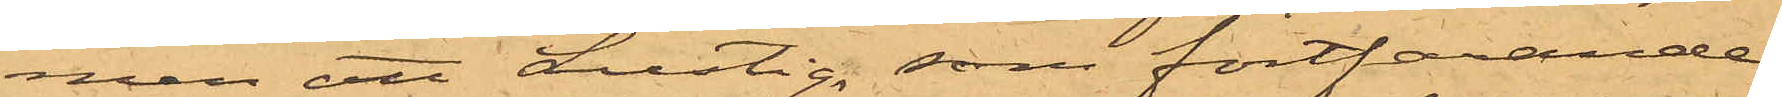men att Lustig, som fortfarande
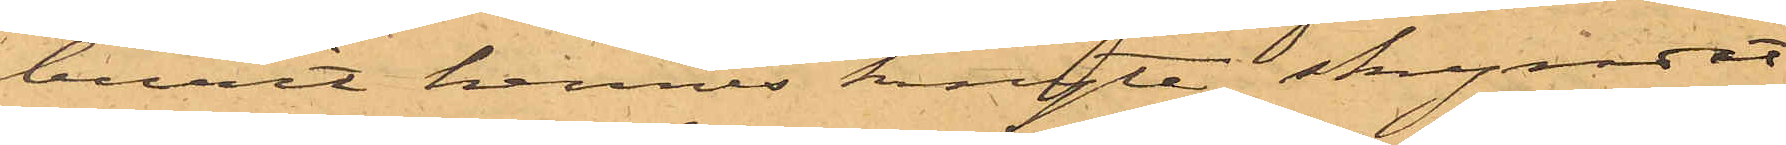burit hennes knyte, skyndat
